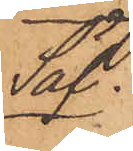Säf.
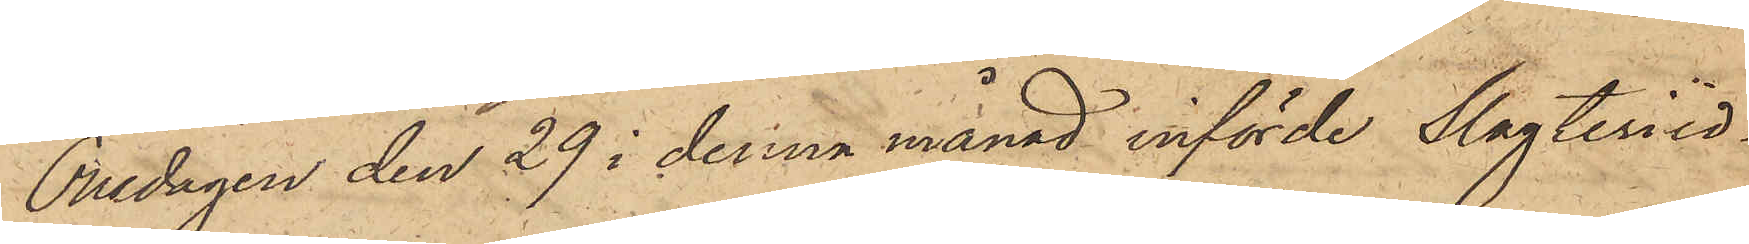Onsdagen den 29 i denna månad införde Slagteriid¬
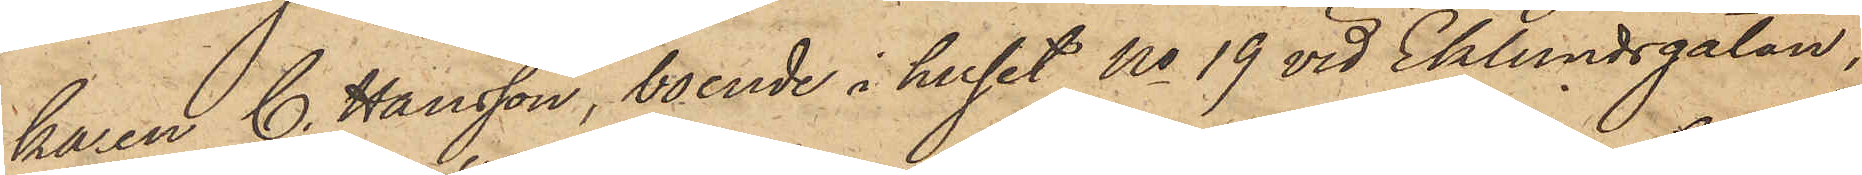karen C. Hansson, boende i huset No 19 vid Eklundsgatan,
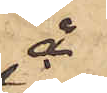å
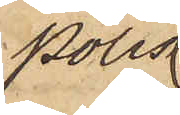Polis¬
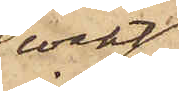vakt¬
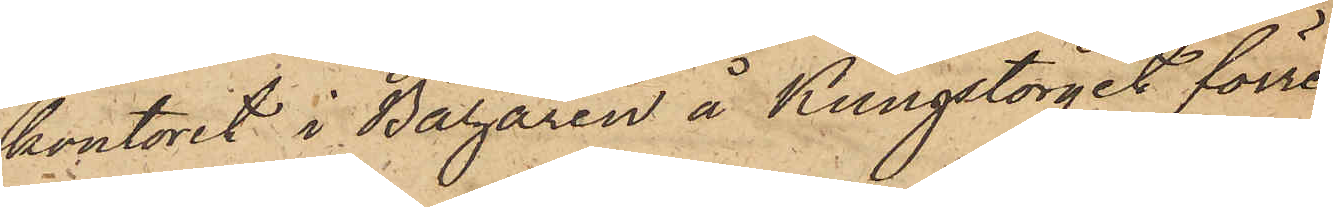kontoret i Bazaren å Kungstorget förre
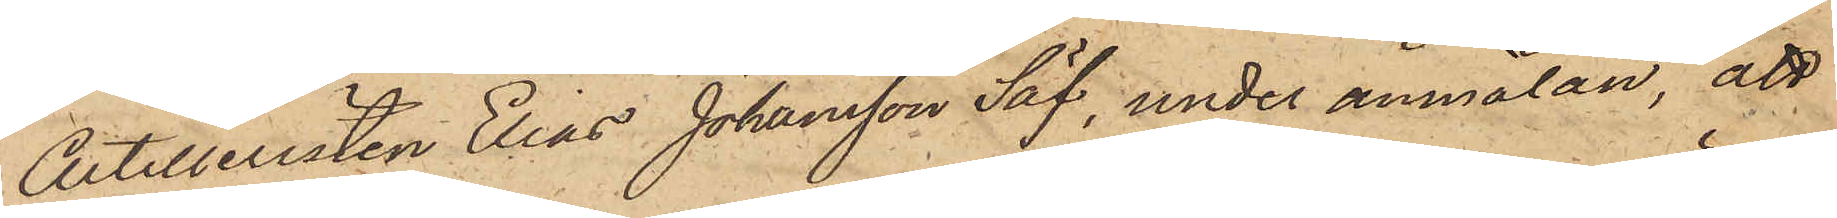Artilleristen Elias Johansson Säf, under anmälan, att
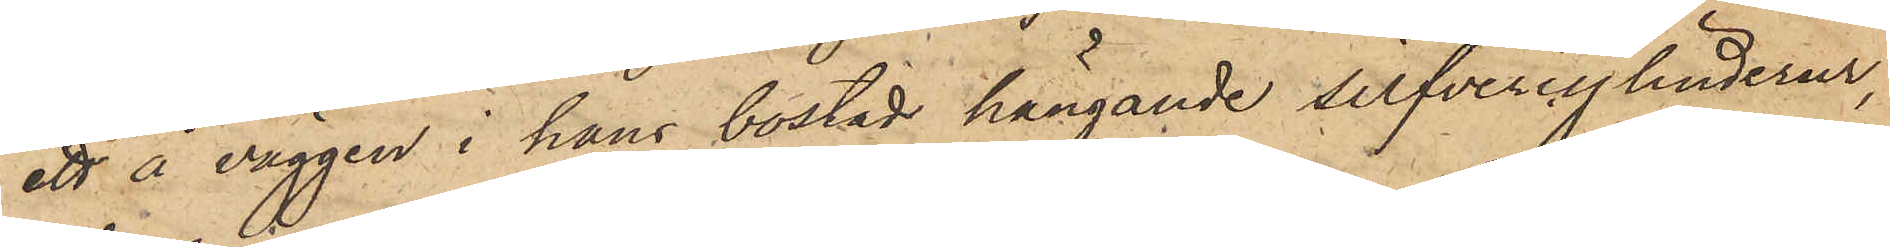ett å väggen i hans bostad hängande silfvercylinderur,
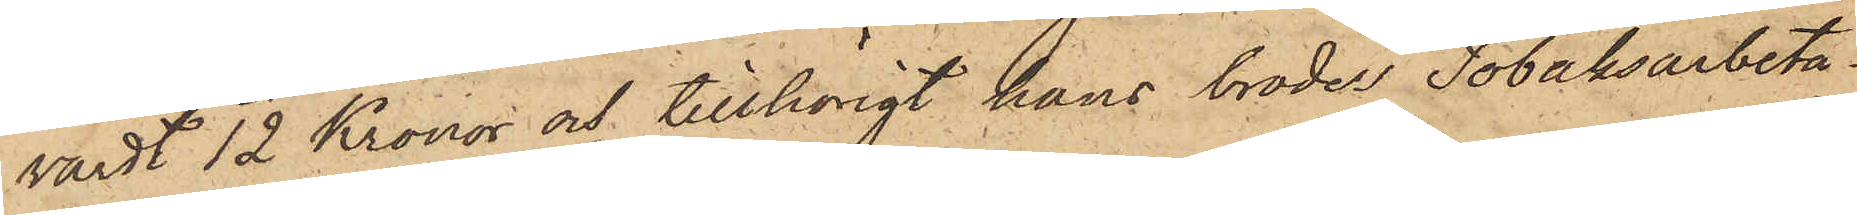värdt 12 Kronor och tillhörigt hans broder Tobaksarbeta¬
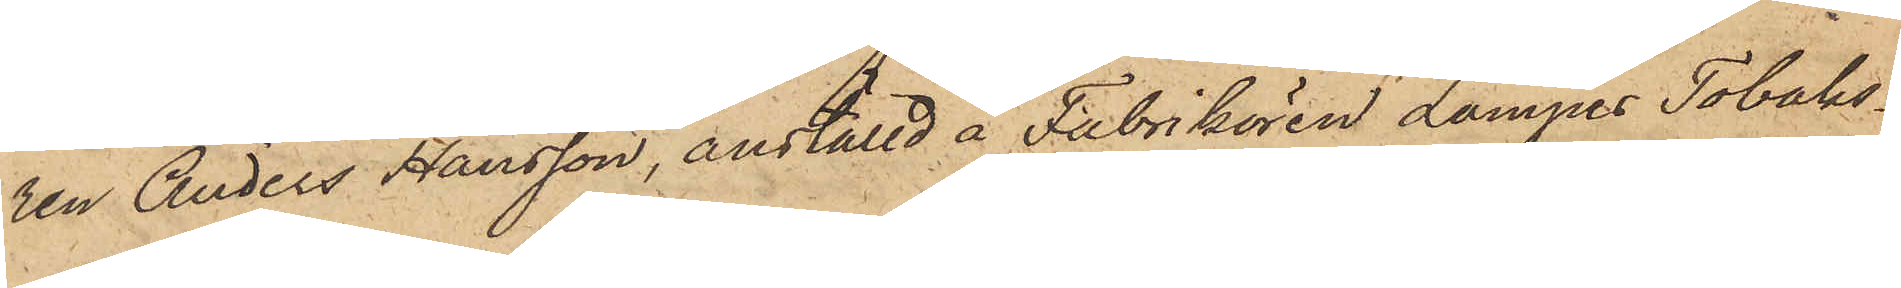ren Anders Hansson, anställd å Fabrikören Lampes Tobaks¬
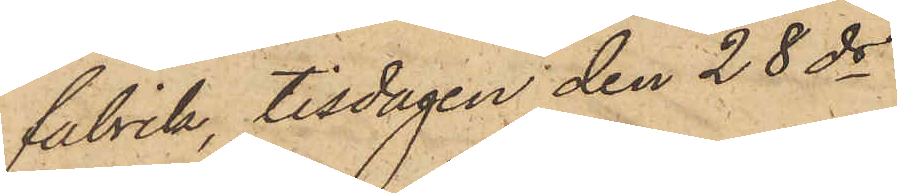fabrik, tisdagen den 28 ds
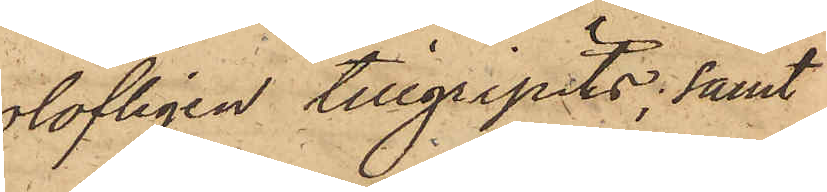olofligen tillgripits; samt
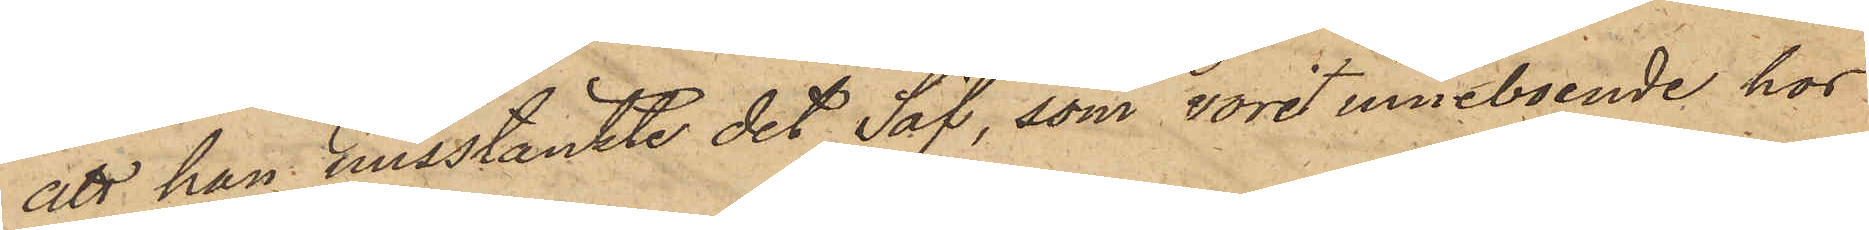att han misstänkte det Säf, som vore inneboende hos
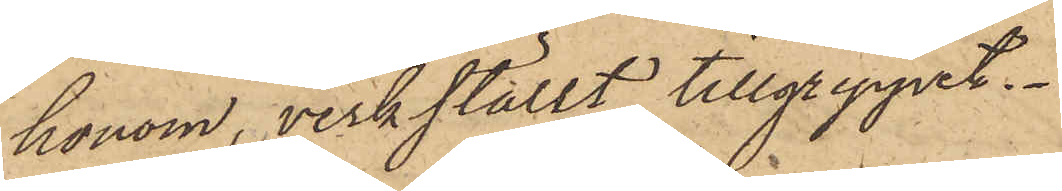honom, verkställt tillgreppet.
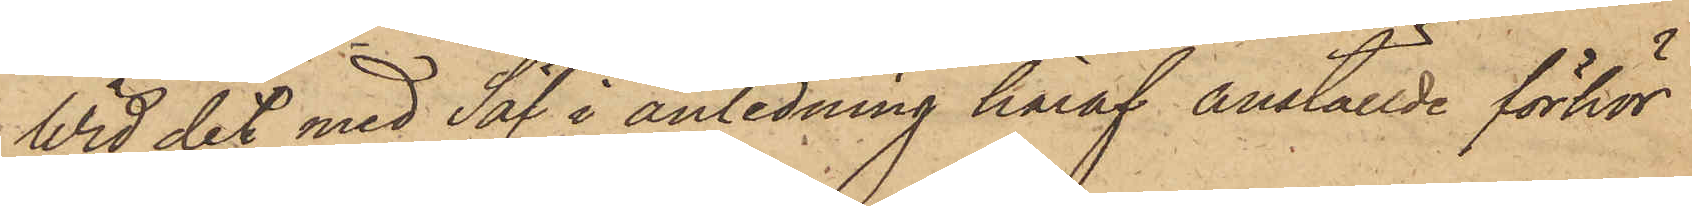Wid det med Säf i anledning häraf anställde förhör
